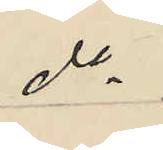do
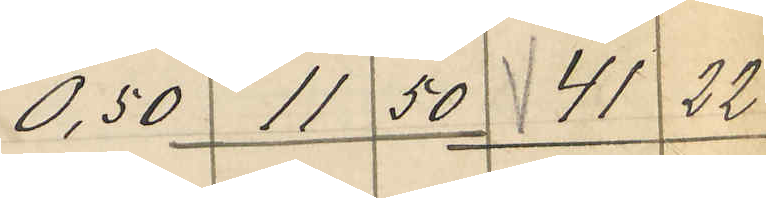0,50 11 50 41 22
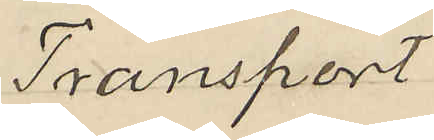Transport
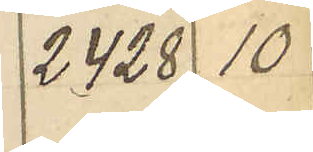2428 10
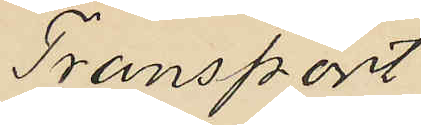Transport
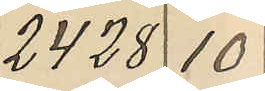2428 10
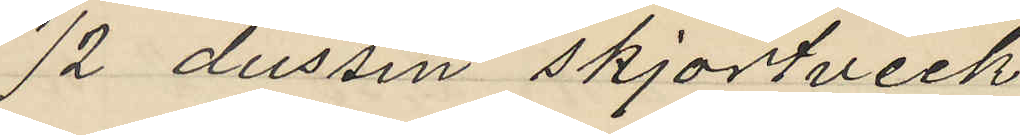1/2 dussin skjortveck
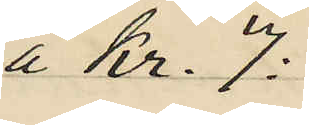á Kr. 7:
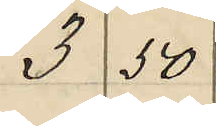3 50
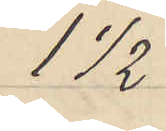1 1/2
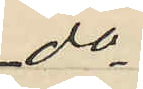do
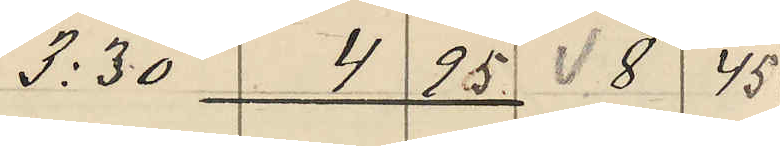3:30  4 95 8 45
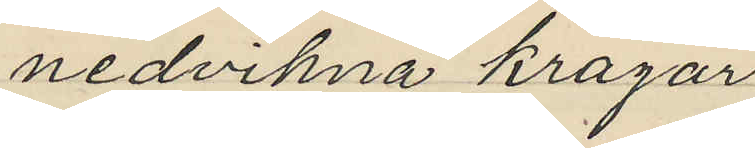nedvikna kragar
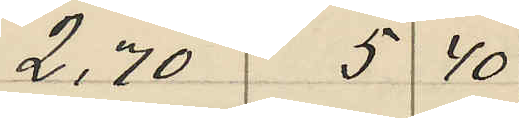2,70 5 40
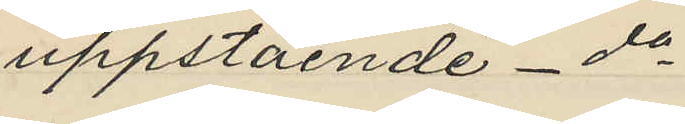uppstående - do
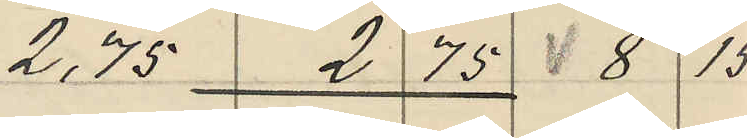2,75 2 75 8 15
